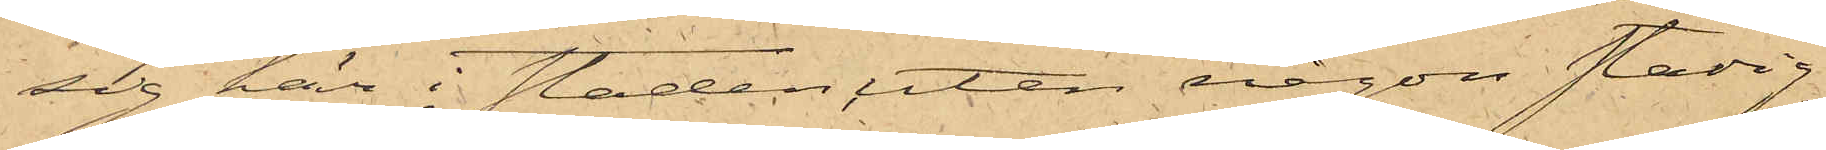sig här i staden utan någon stadig
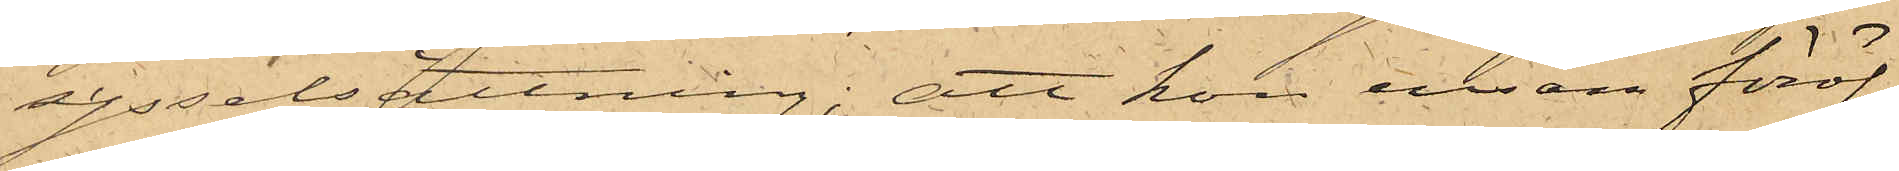sysselsättning; att hon ensam föröf¬
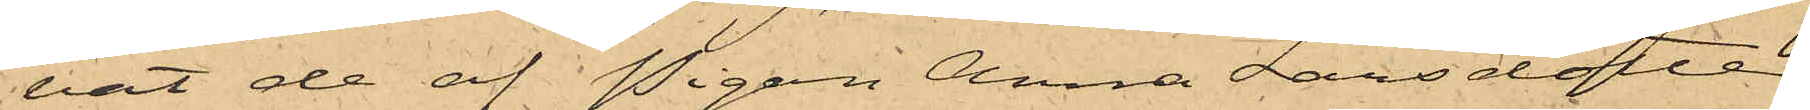vat de af Pigan Anna Larsdotter,
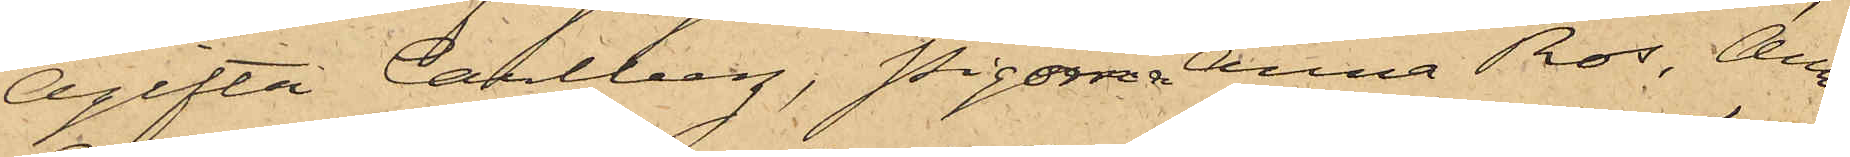Ogifta Carlberg, Pigorna Anna Ros, Anna
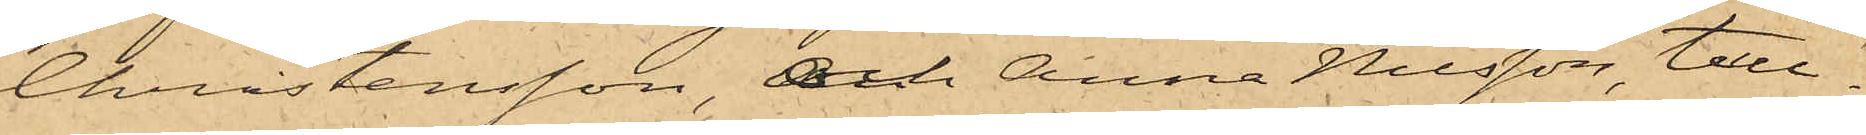Christensson och Anna Nilsson, tull¬
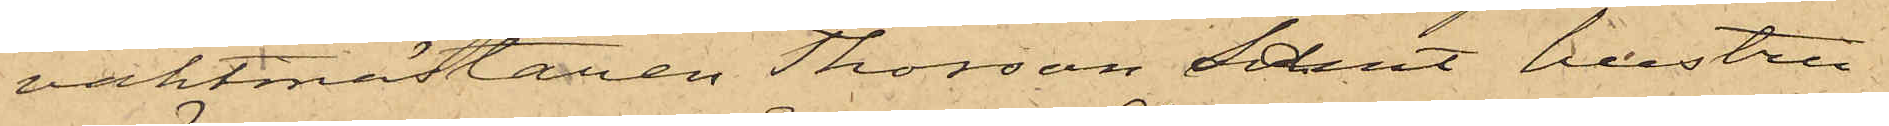vaktmästaren Thorsson samt hustru
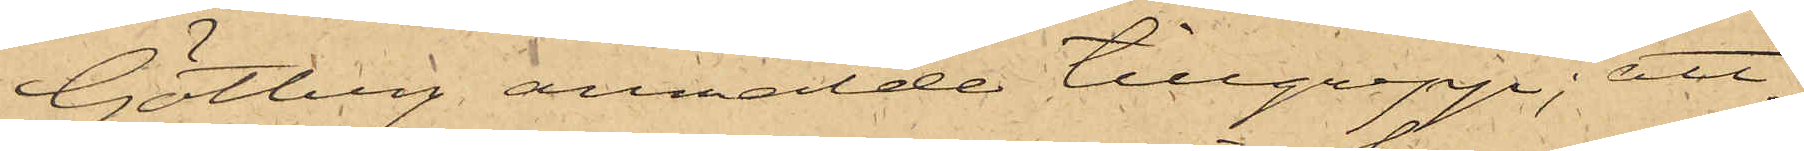Götberg anmälde tillgrepp; att
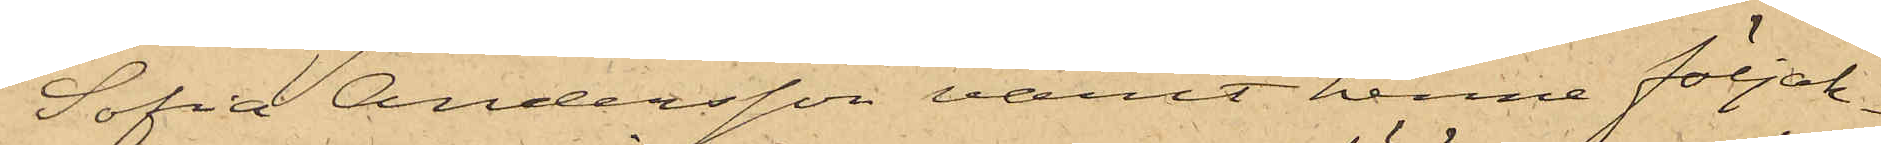Sofia Andersson varit henne följak¬
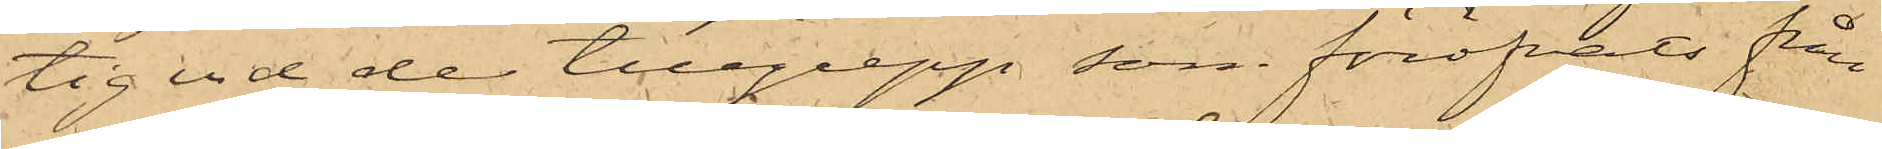tig vid de tillgrepp, som föröfvats från
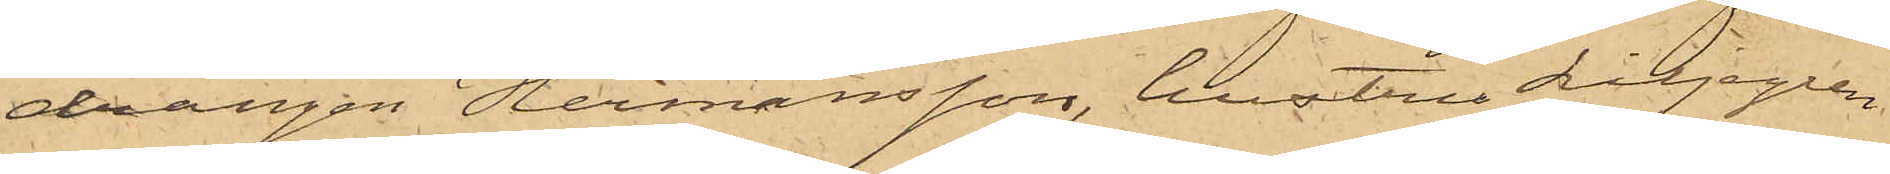drängen Hermansson, hustru Liljegren
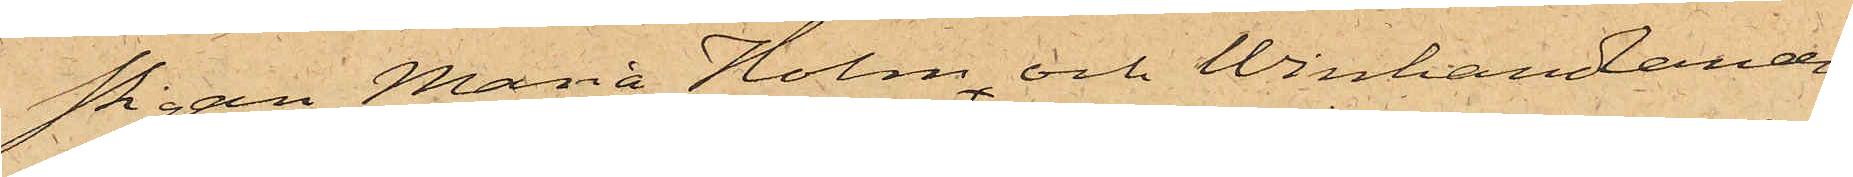Pigan Maria Holm och Winhandanden
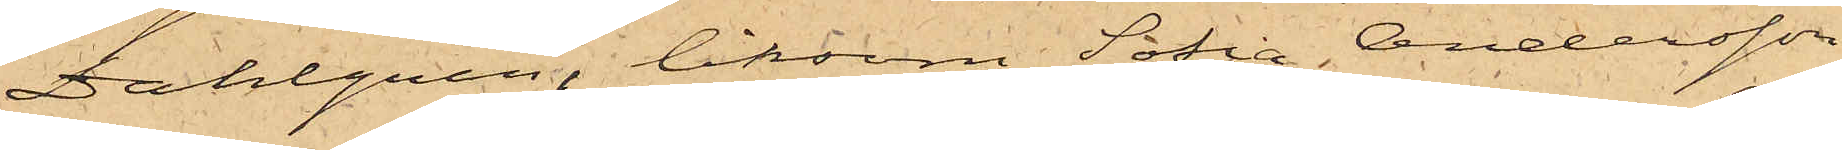Dahlgren, liksom Sofia Andersson
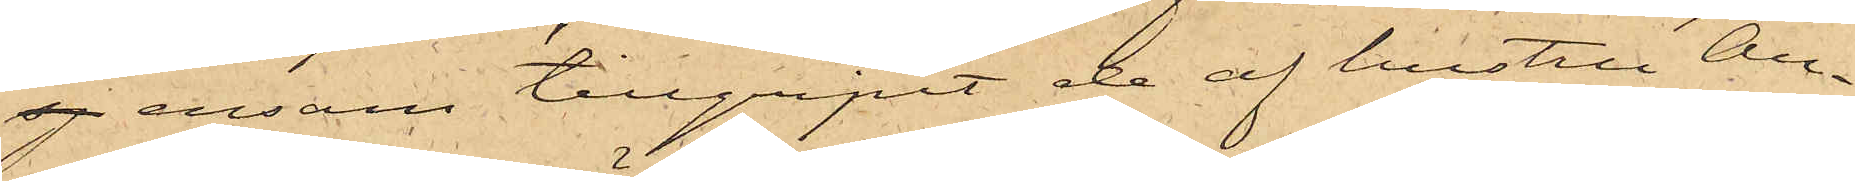sj ensam tillgripit de af hustru An¬
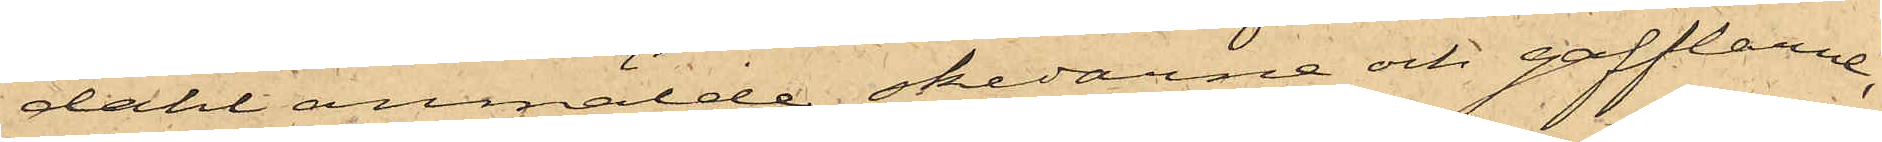dahl anmälde skedarne och gafflarne,
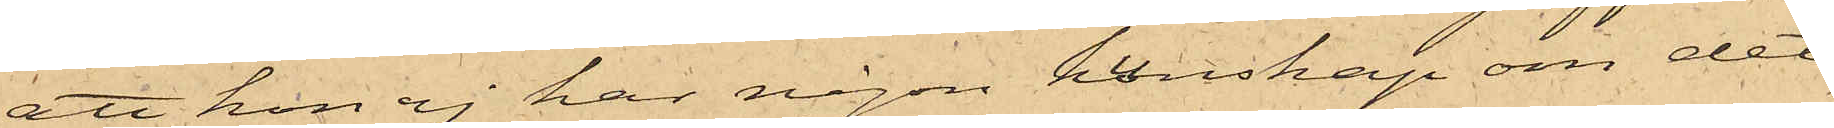att hon ej har någon kunskap om det
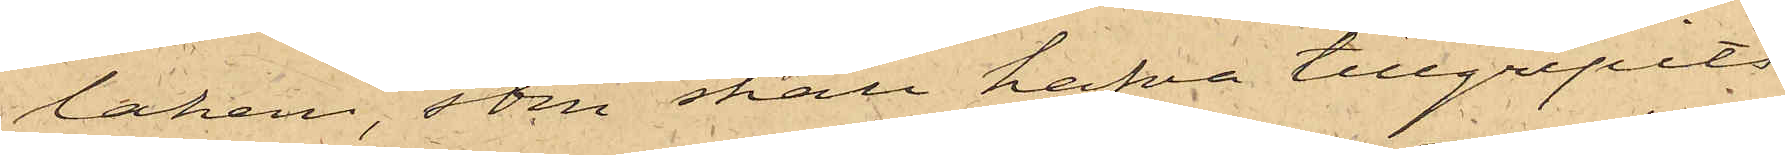lakan, som skall hafva tillgripits
